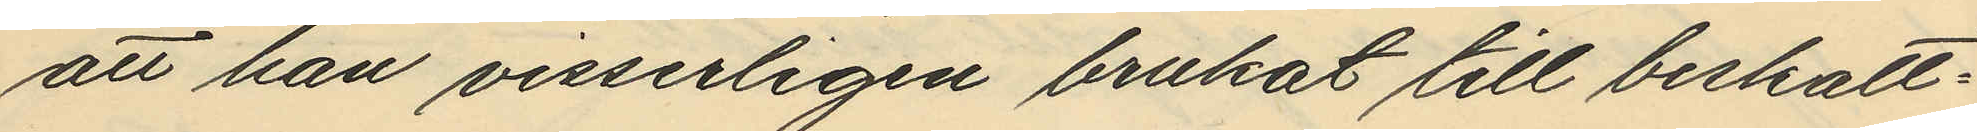att han visserligen brukat till beskatt¬
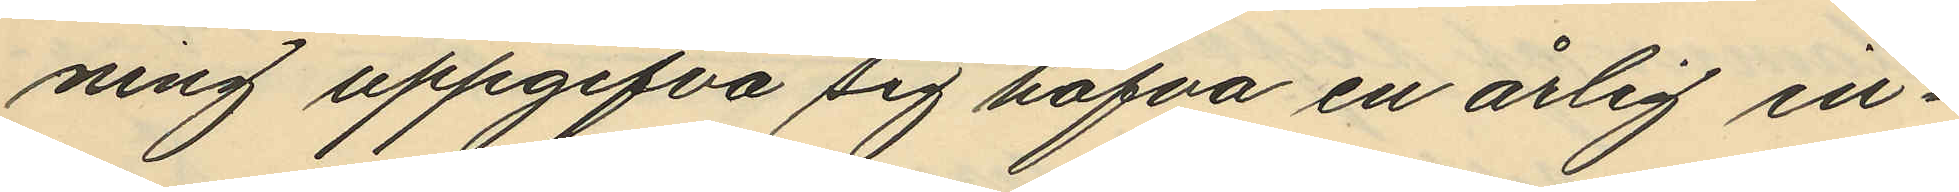ning uppgifva sig hafva en årlig in¬
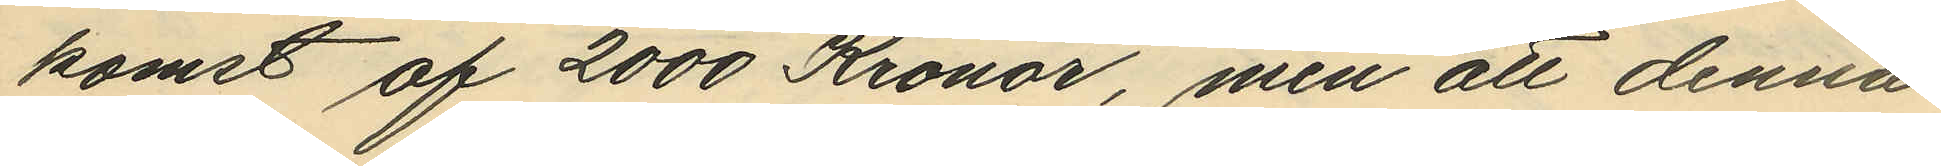komst af 2000 Kronor, men att denna
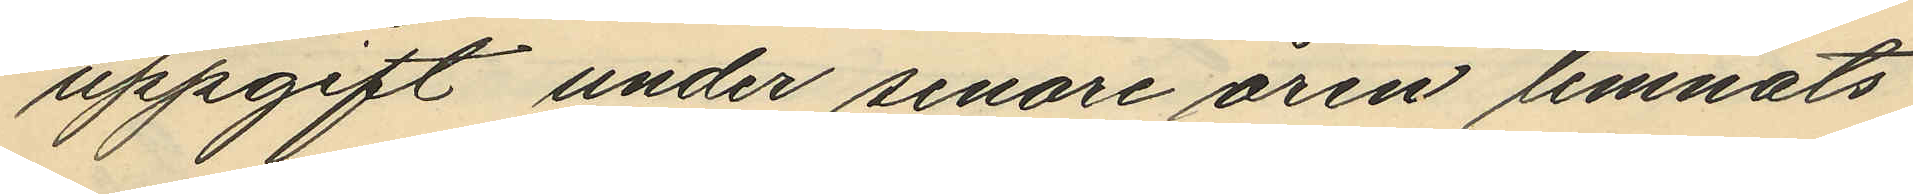uppgift under senare åren lemnats
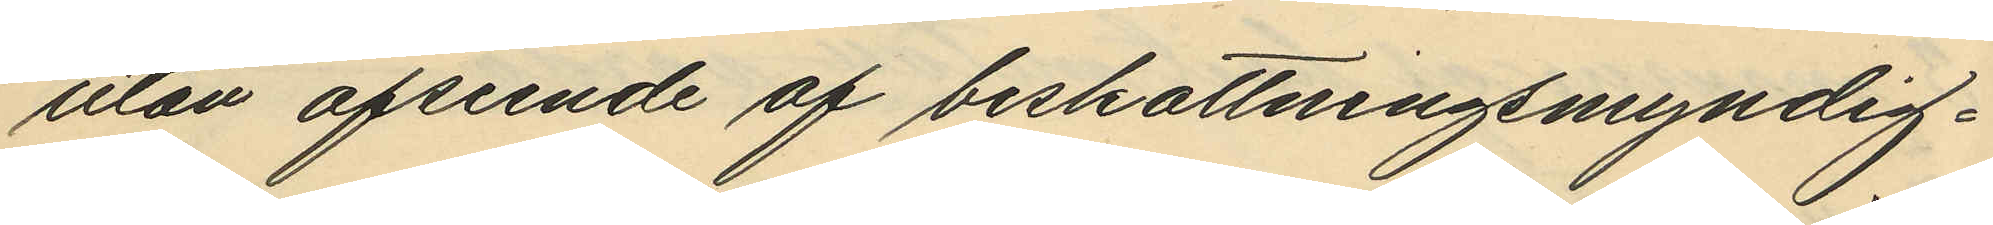utan afseende af beskattningsmyndig¬
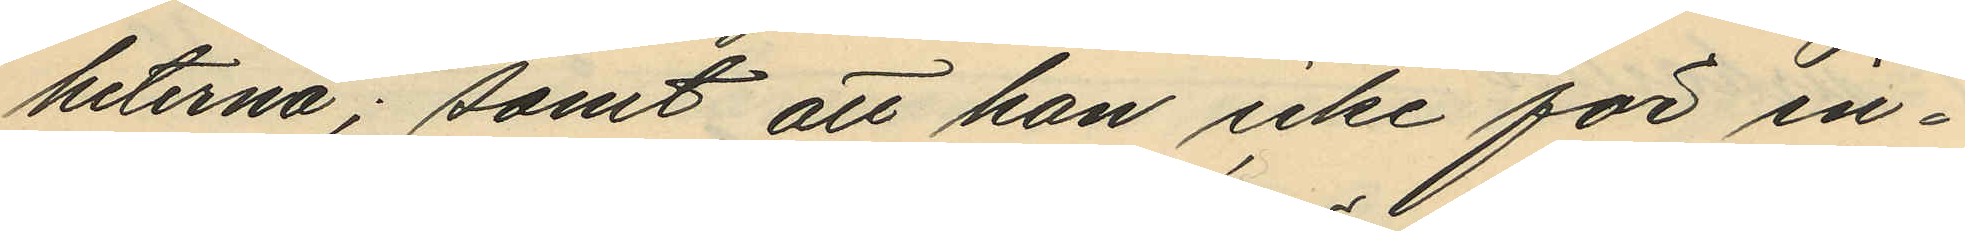heterna; samt att han icke för in¬
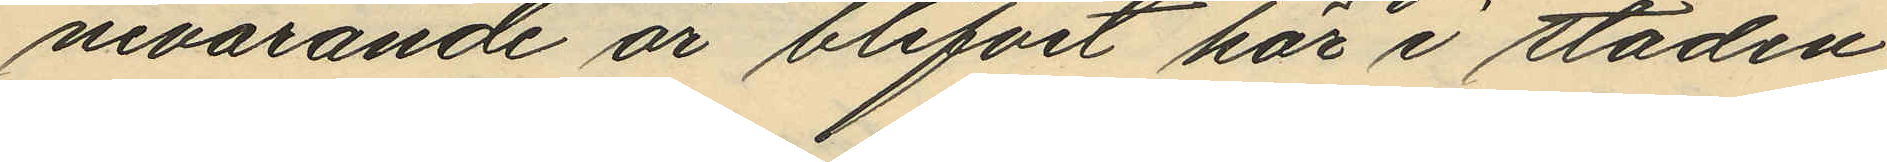nevarande år blifvit här i staden
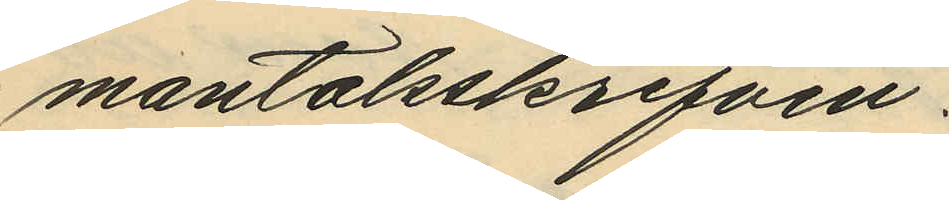mantalsskrifven.
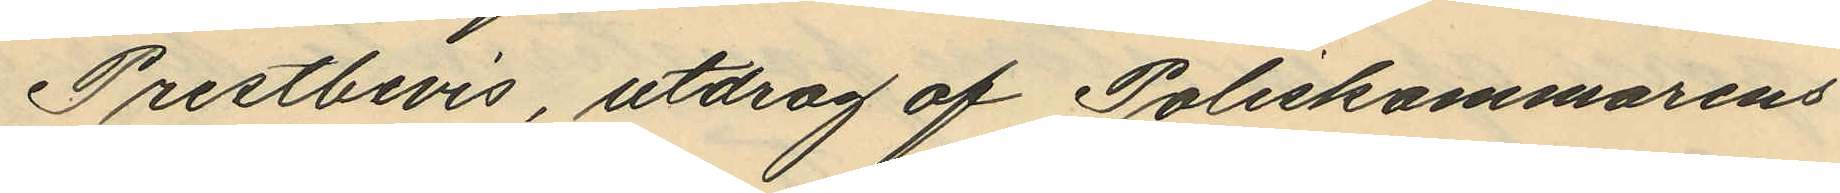Prestbevis, utdrag af Poliskammarens
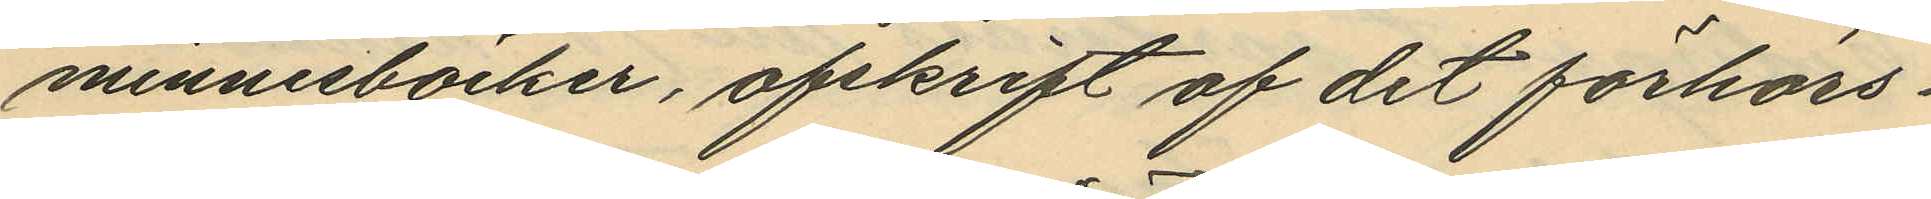minnesböcker, afskrift af det förhörs¬
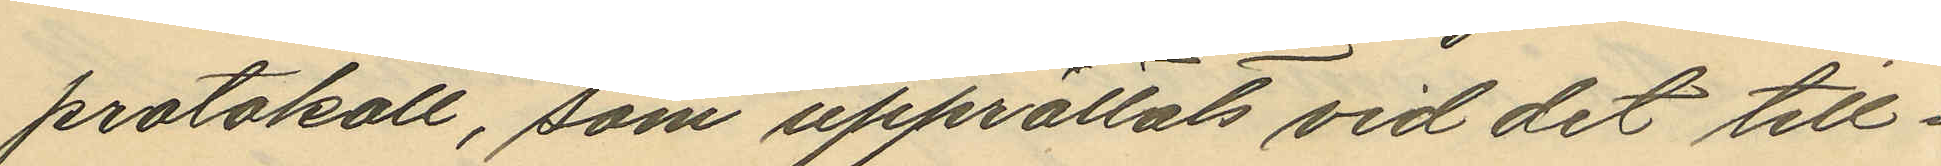protokoll, som upprättats vid det till¬
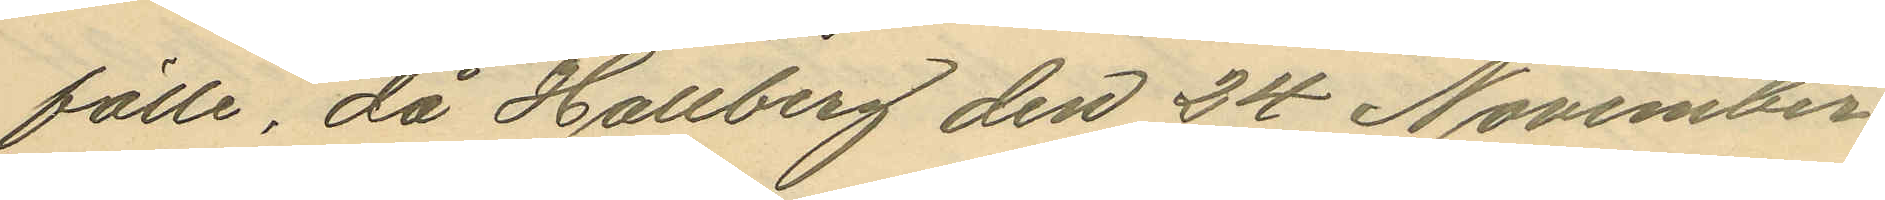fälle, då Hallberg den 24 November
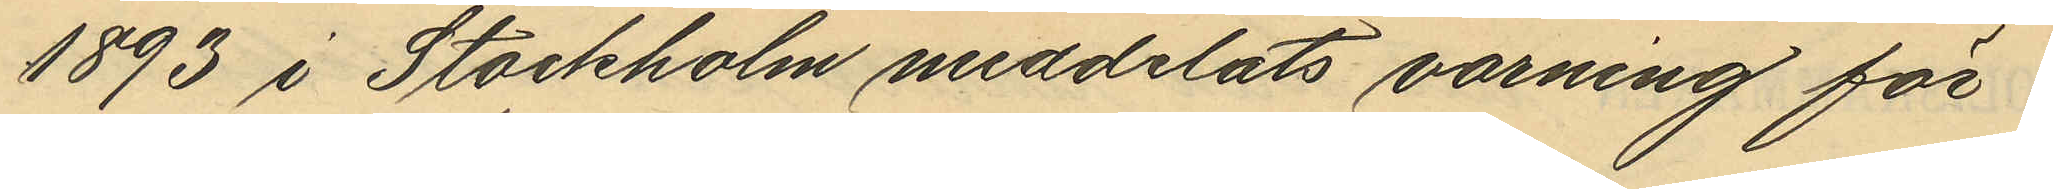1893 i Stockholm meddelats varning för
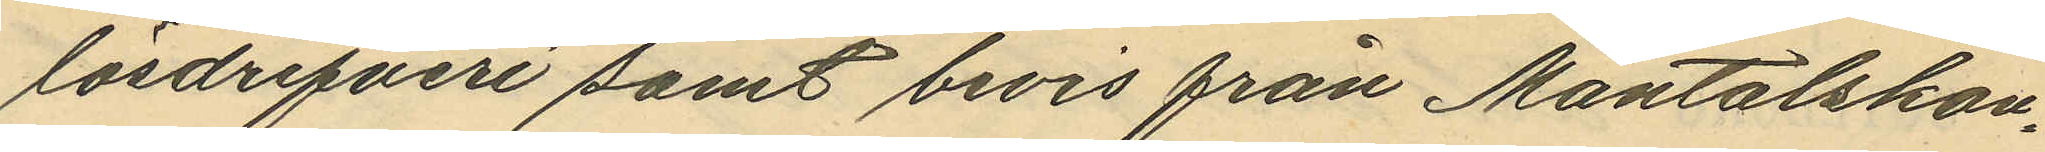lösdrifveri samt bevis från Mantalskon¬
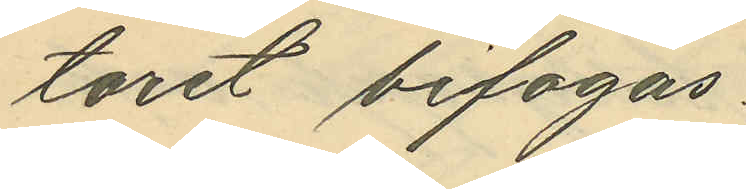toret bifogas.
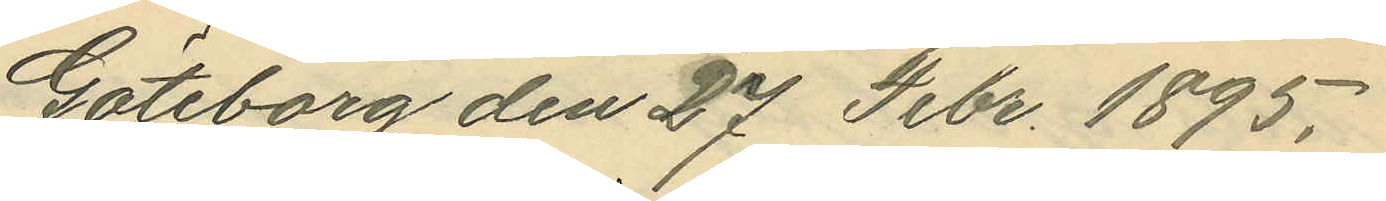Göteborg den 27 Febr. 1895.
